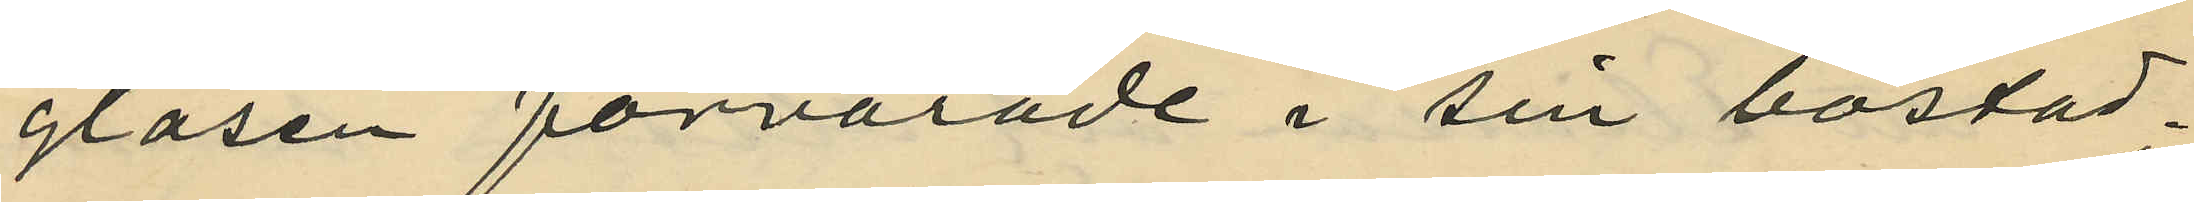glasen förvarade i sin bostad;
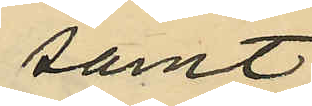samt
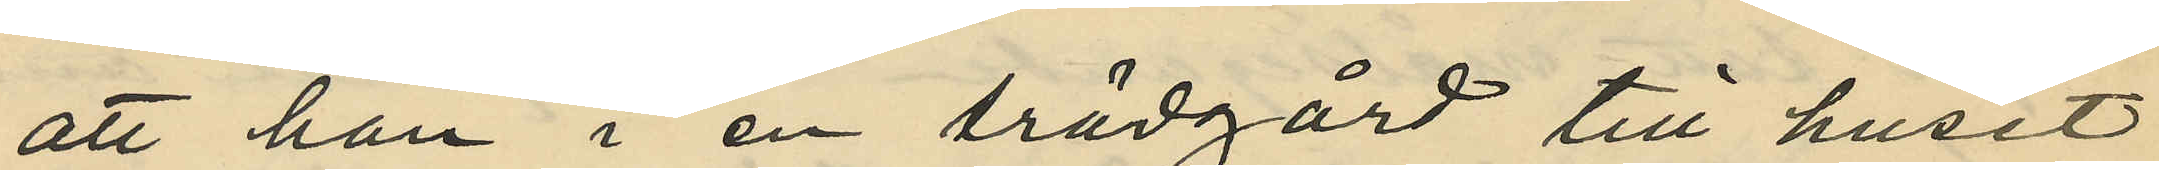att han i en trädgård till huset
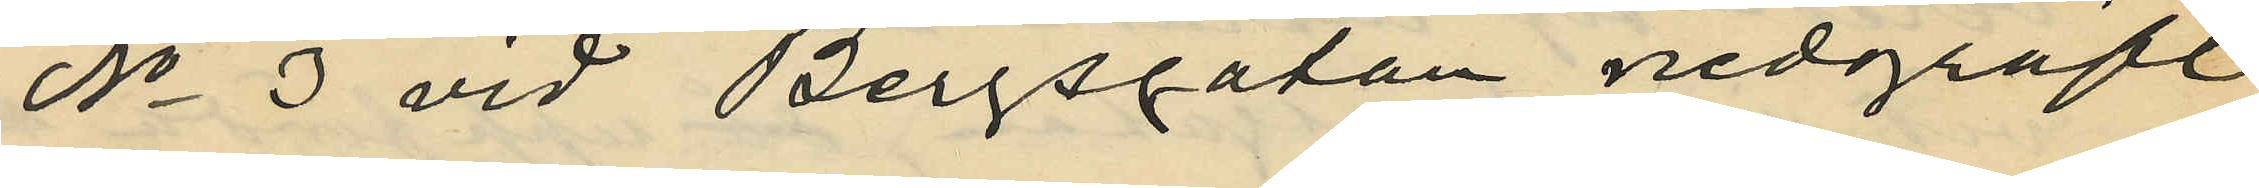No 3 vid Bergsgatan nedgräft
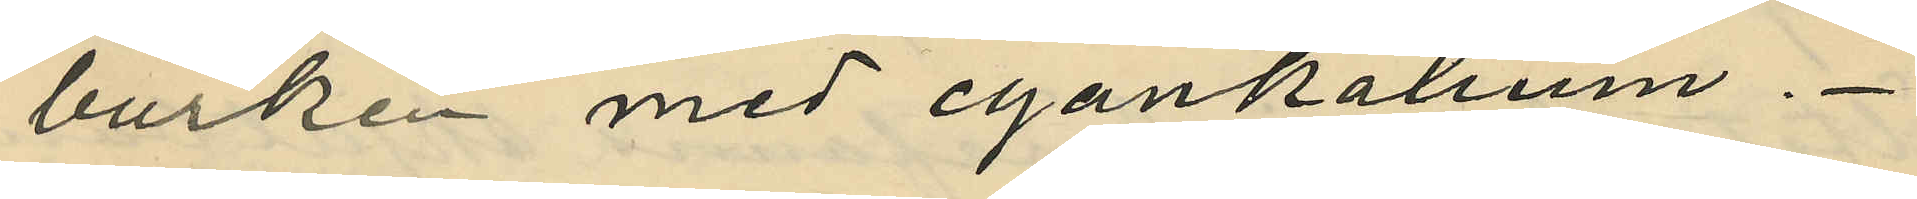burken med cyankalium.
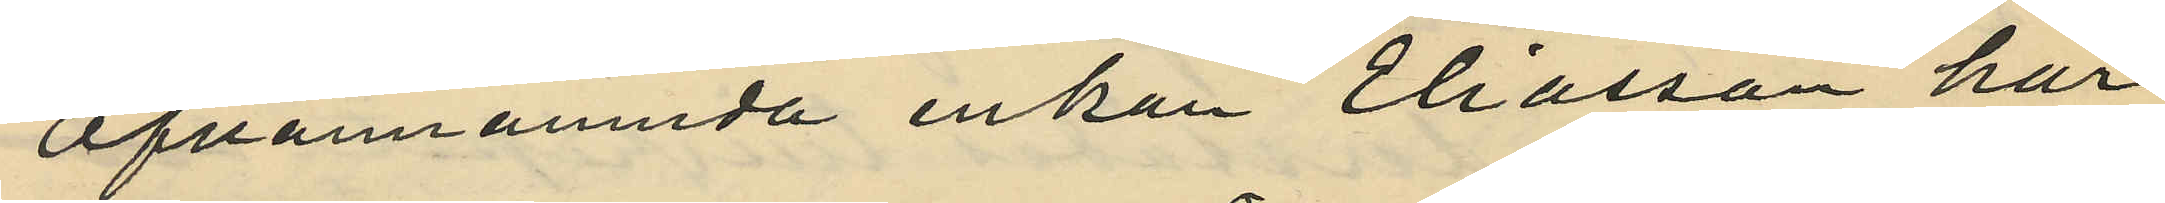Ofvannämnda enkan Eliasson har
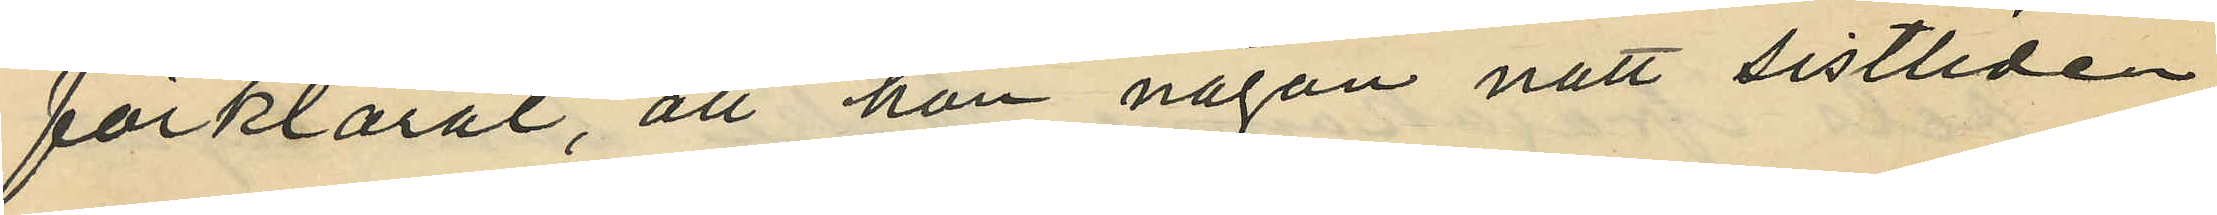förklarat, att hon någon natt sistlidna
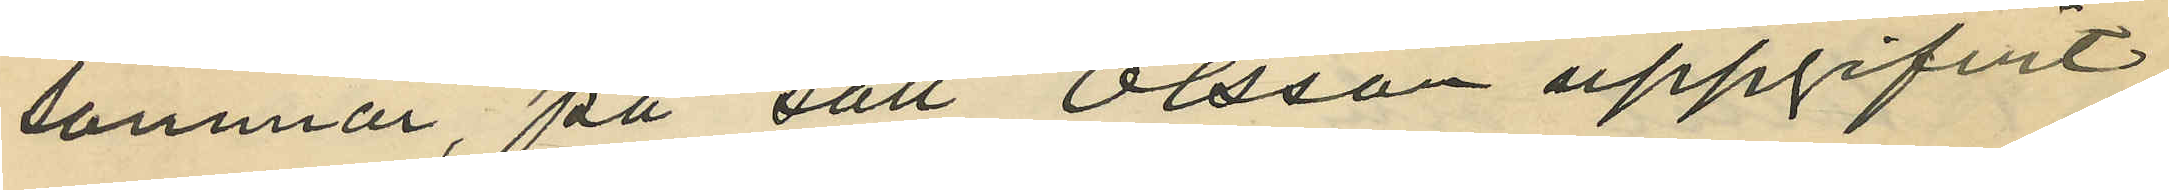sommar, på sätt Olsson uppgifvit
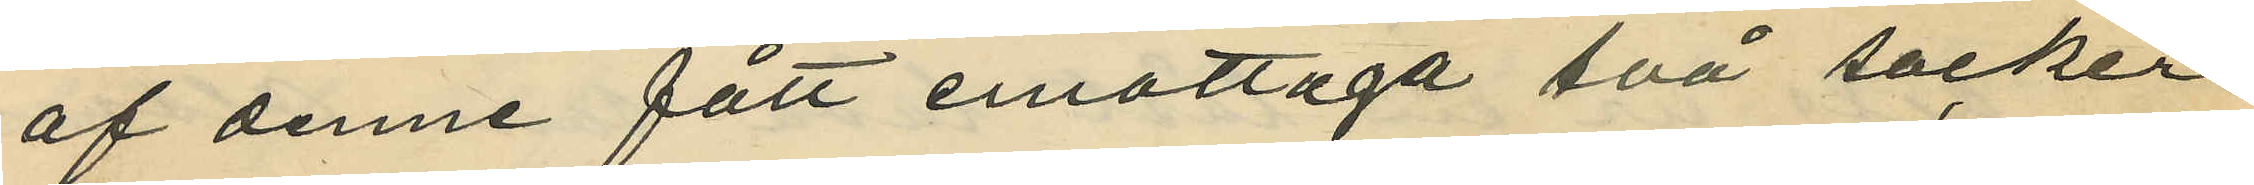af denne fått emottaga två socker¬
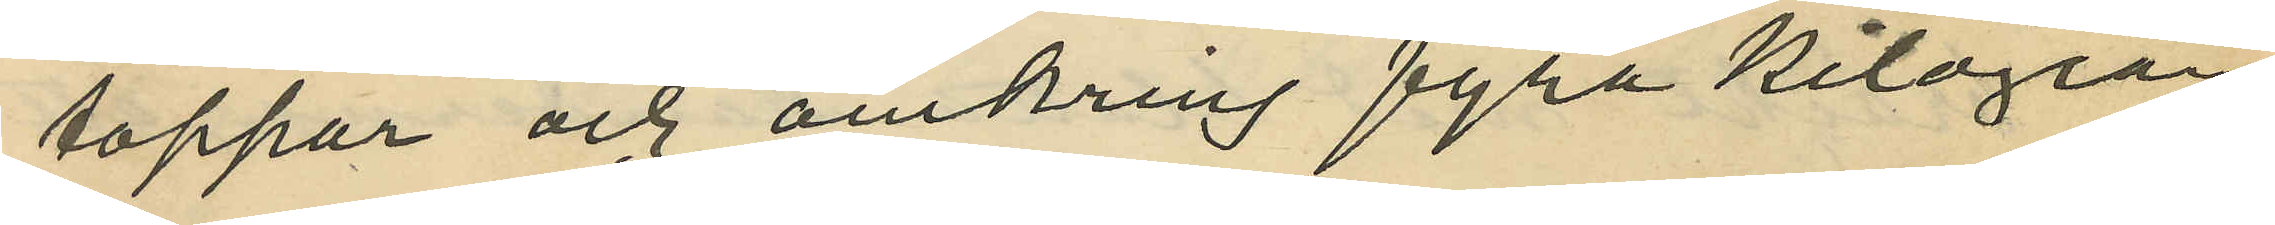toppar och omkring fyra kilogram
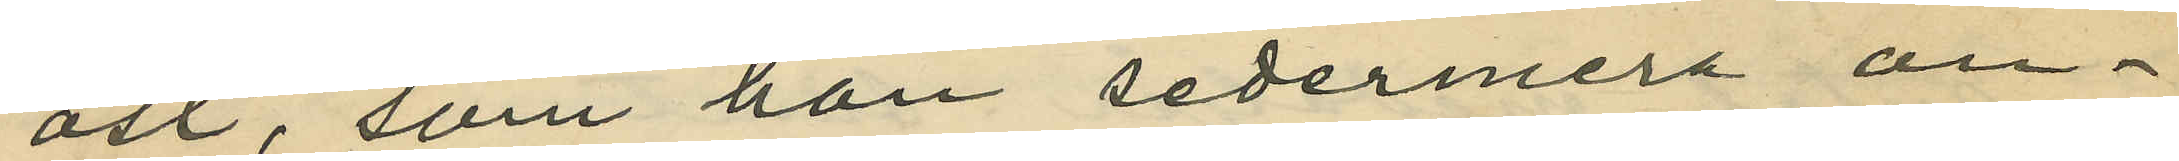ost, som hon sedermera an¬
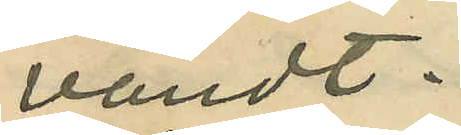vändt.
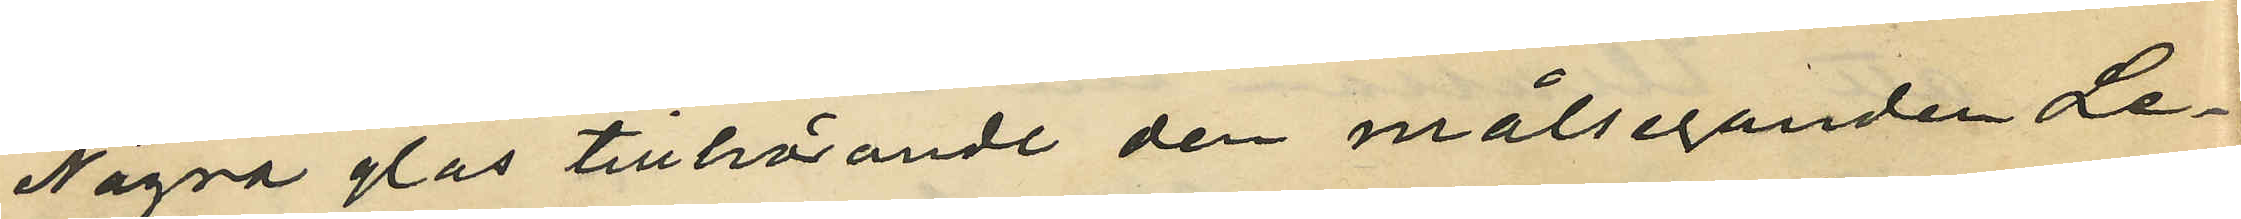Några glas tillhörande den målseganden Le¬
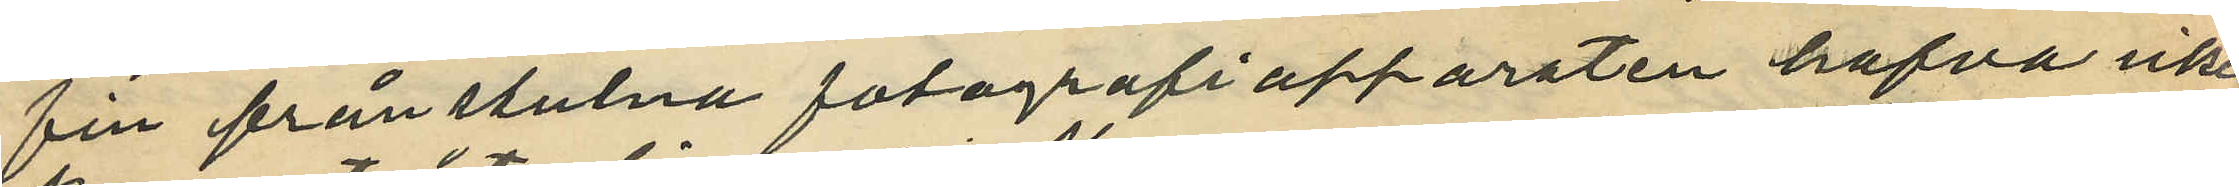fin ifrånstulna fotografiapparaten hafva icke
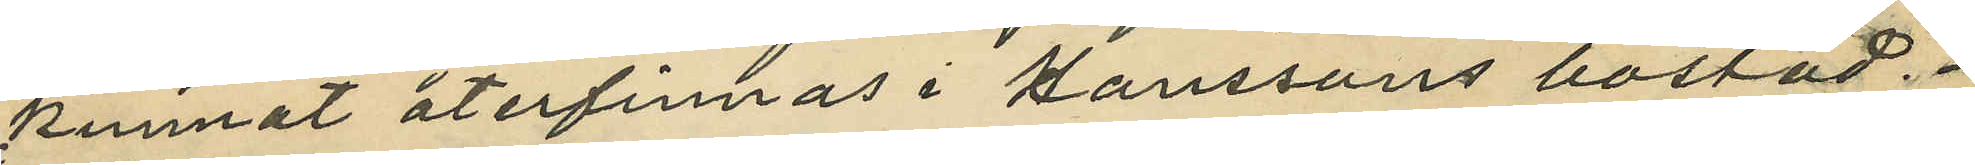kunnat återfinnas i Hanssons bostad.
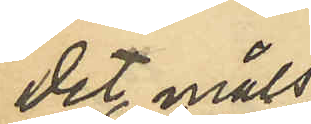Det måls¬
